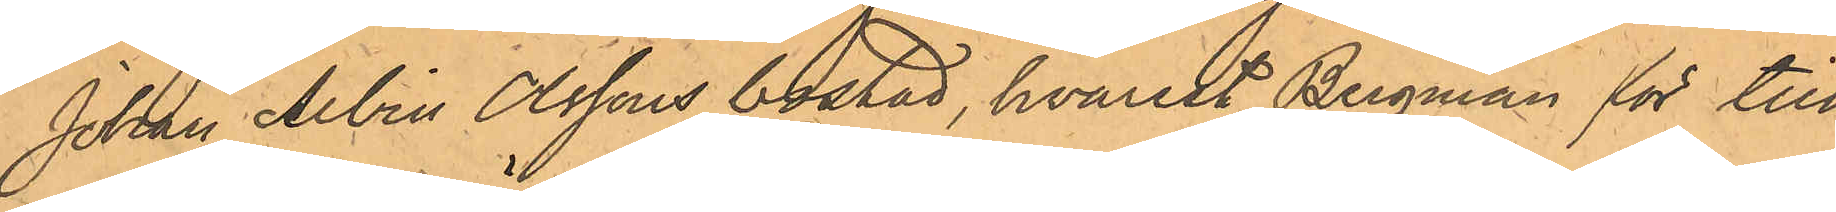Johan Alvin Olsson bostad, hvarest Bergman för till¬
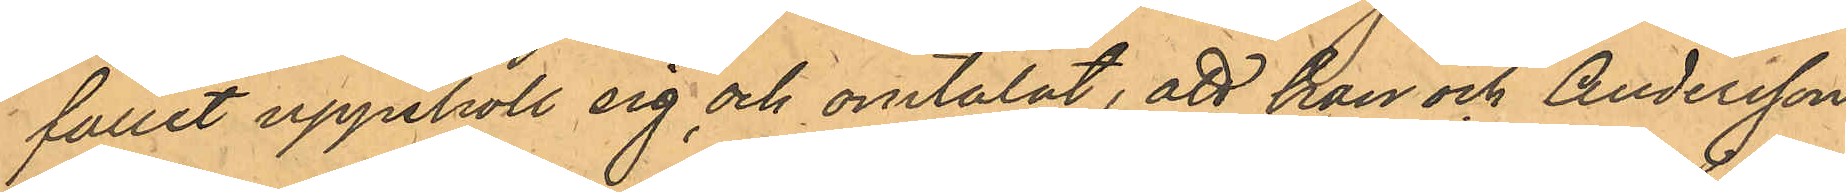fället uppehöll sig och omtalat, att han och Andersson
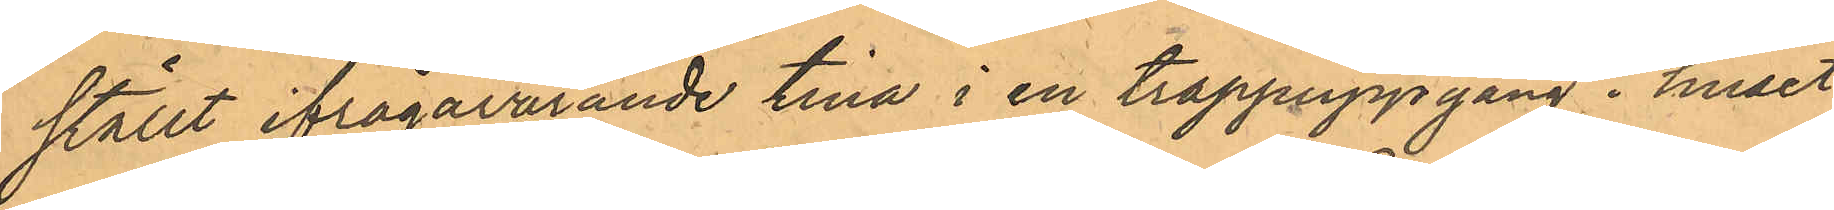ställt ifrågavarade tina i en trappuppgång i huset
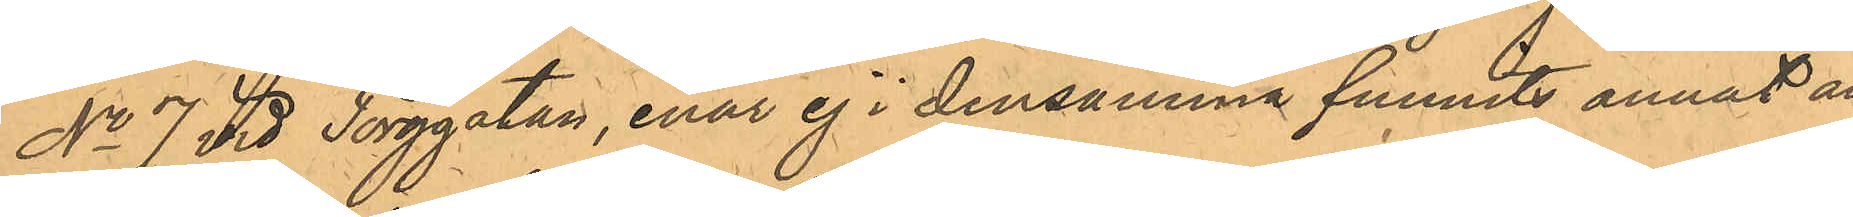No 7 vid Torggatan, enär ej i densamma funnits annat än
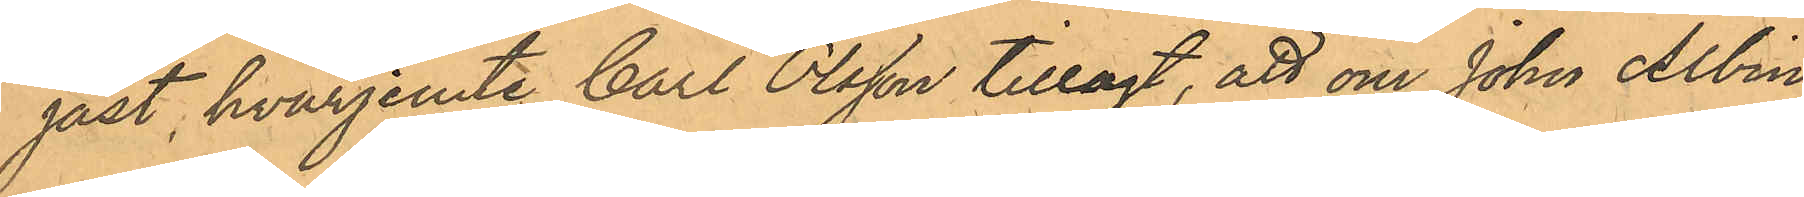jäst, hvarjemte Carl Olsson tillagt, att om John Albin
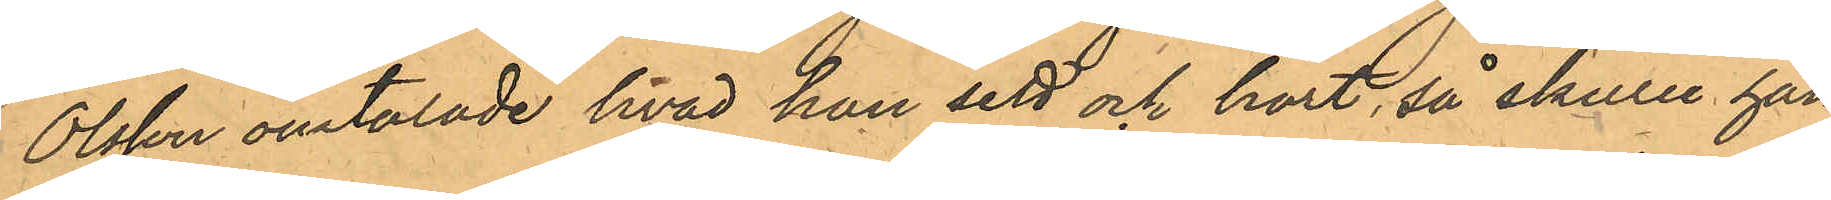Olsson omtalade hvad han sett och hört, så skulle han
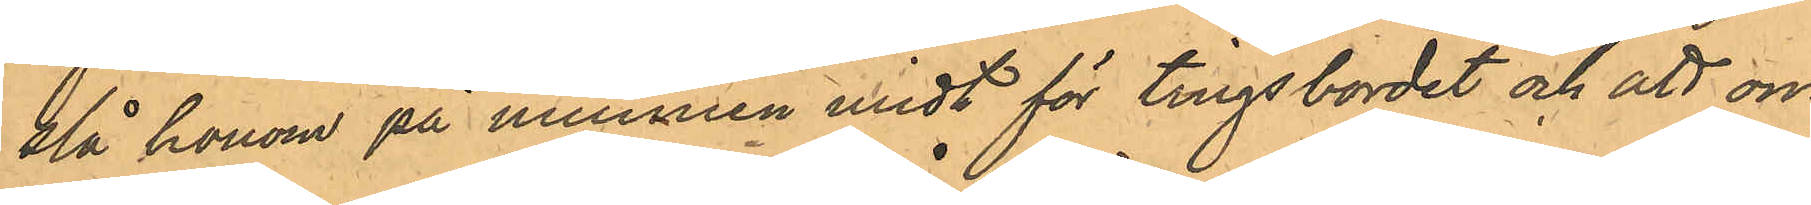slå honom på munnen midt för tingsbordet och att om
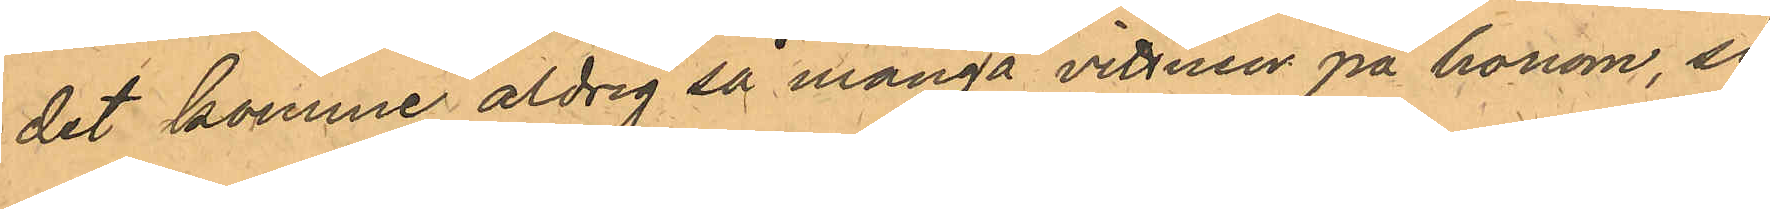det komme aldrig så många vittnen på honom, så
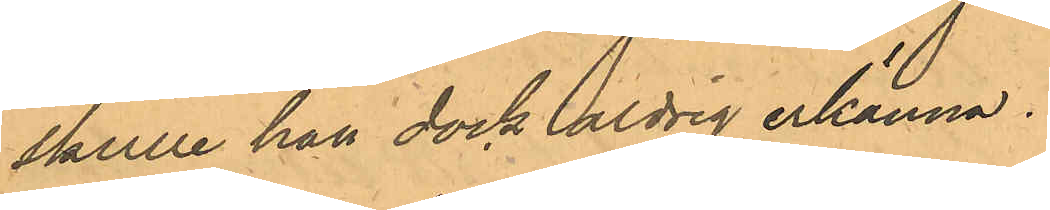skulle han dock aldrig erkänna.
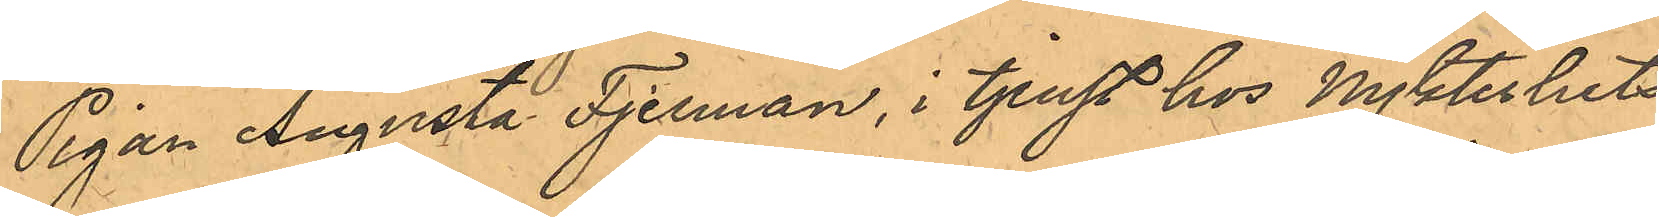Pigan Augusta Fjelman, i tjenst hos Nykterhets¬
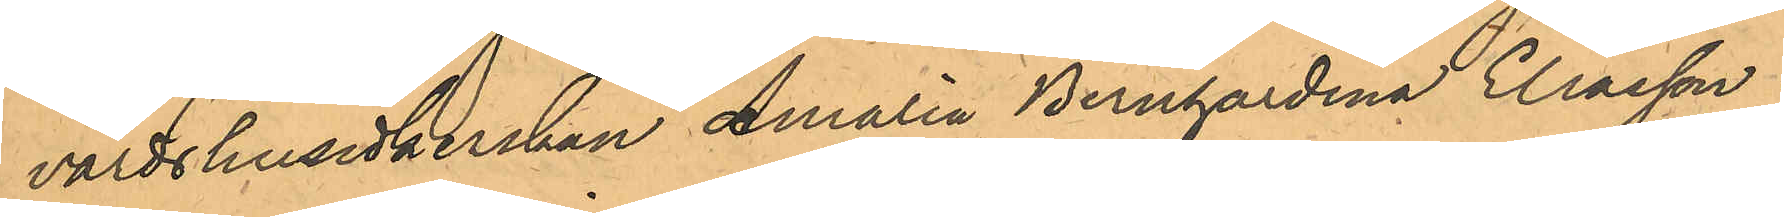värdshusidkerskan Amalia Bernhardina Eliasson i
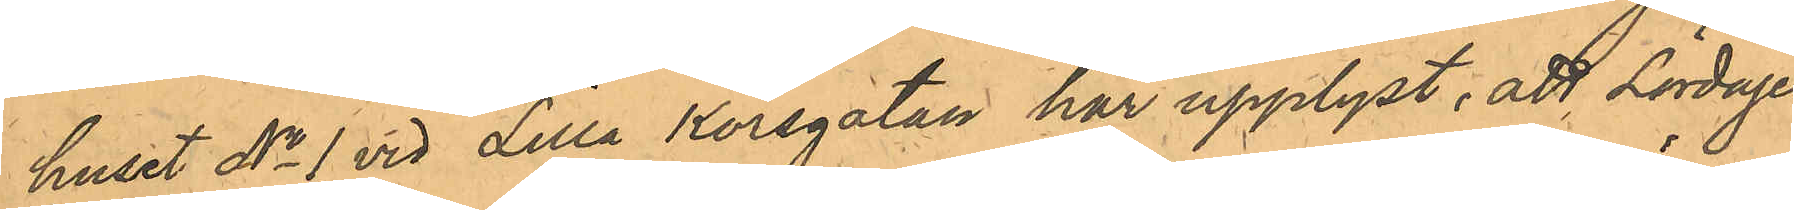huset No 1 vid Lilla Korsgatan har upplyst, att Lördagen
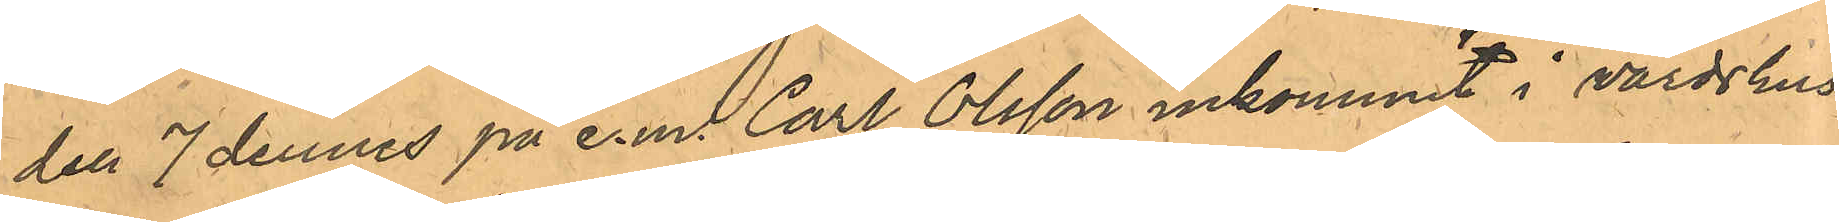den 7 dennes på e.m. Carl Olsson inkommit i värdshus¬
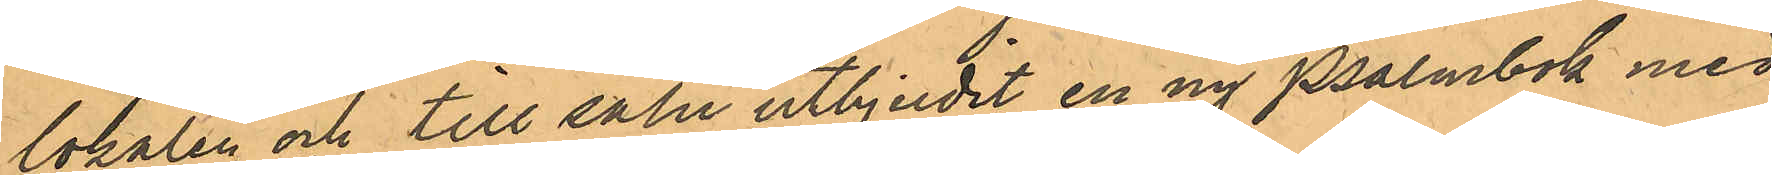lokalen och till salu utbjudit en ny Psalmbok med
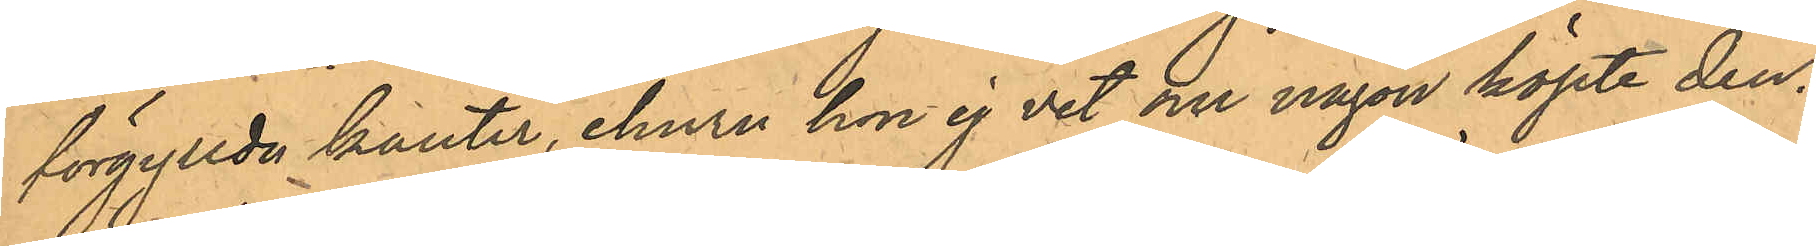förgyllda kanter, ehuru hon ej vet om någon köpte den.
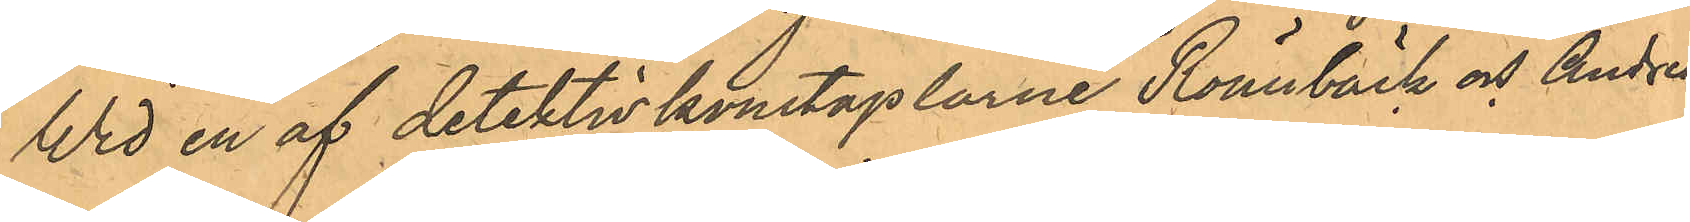Wid en af detektivkonstaplarne Rönnbäck och Andrén
